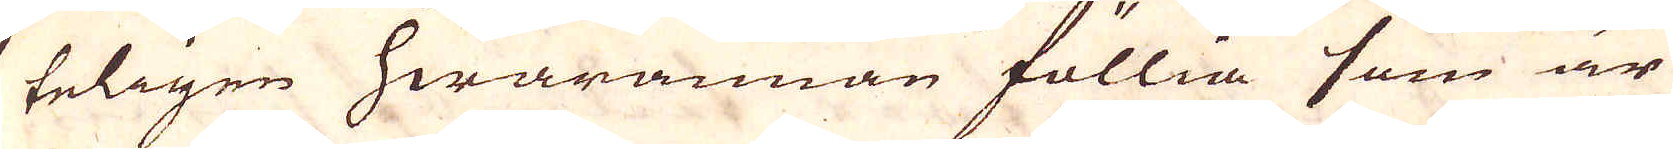teligen hwarannan föllia som är
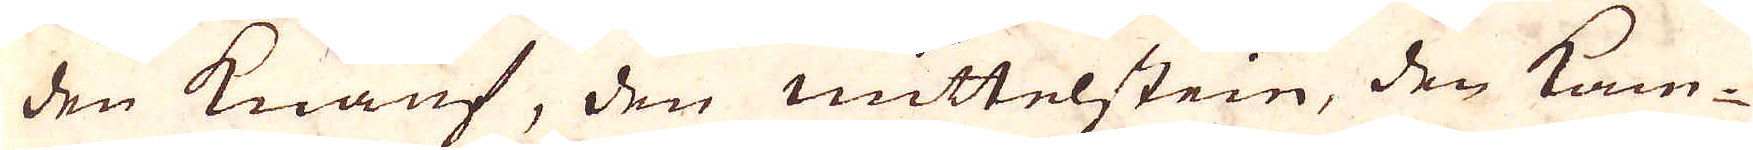den knauf, den mittelstein, den kam-
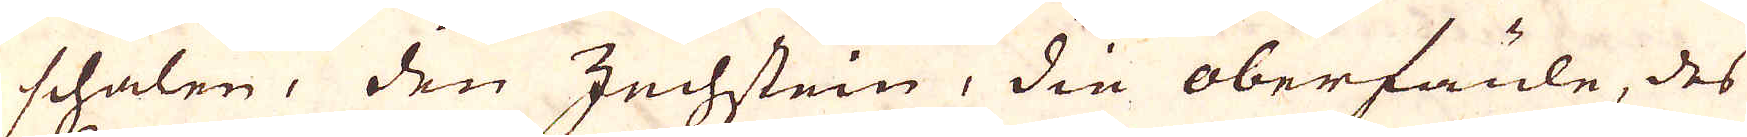schalen, den Zechstein, die oberfaule, des
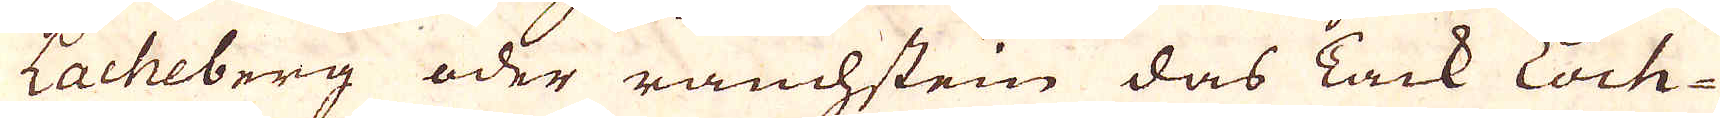Lacheberg oder ranchstein das Tack Loch-
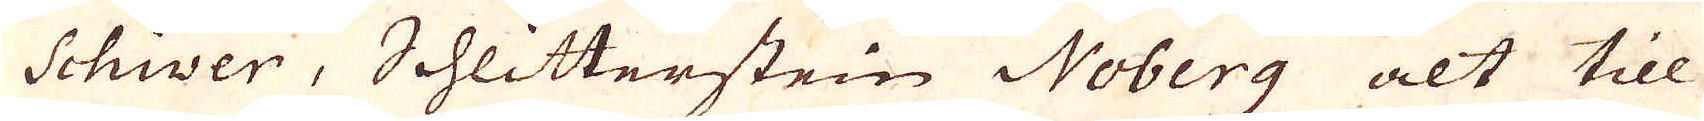Schiver, Schlitterstein Noberg alt till
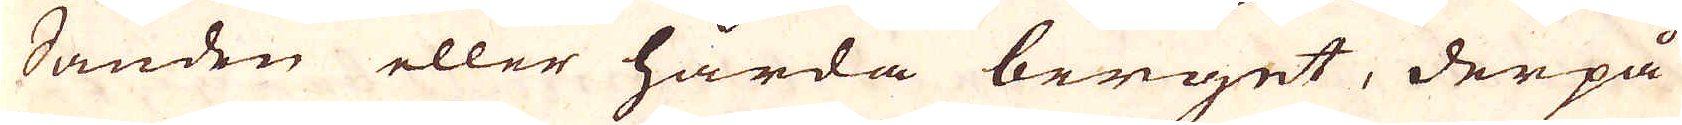Sanden eller hårda berget, derpå
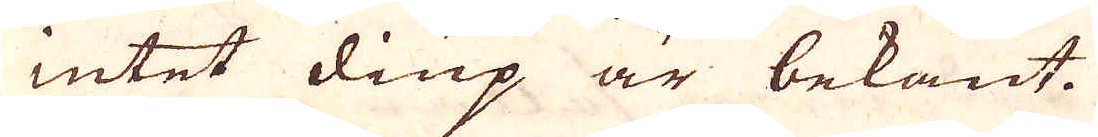intet diup är bekant.
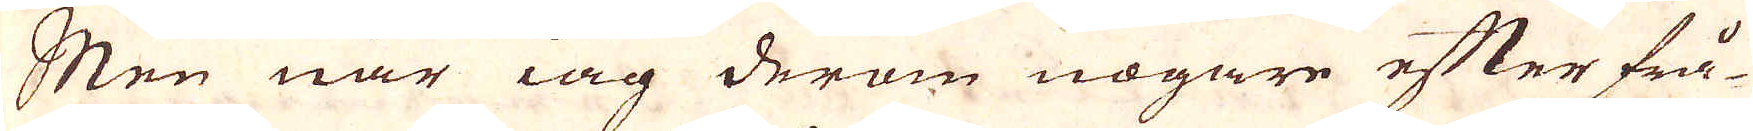Men när iag derom nogare efterfrå-
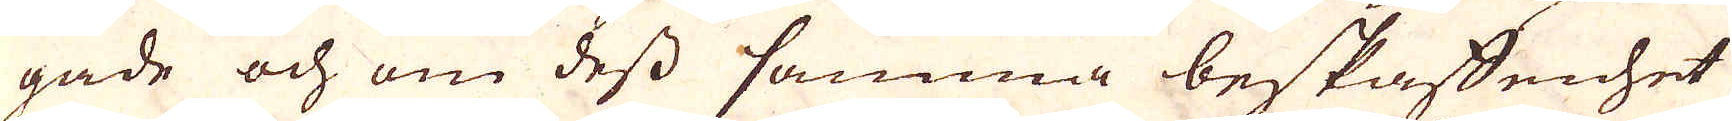gade och om dess samma beskaffenhet
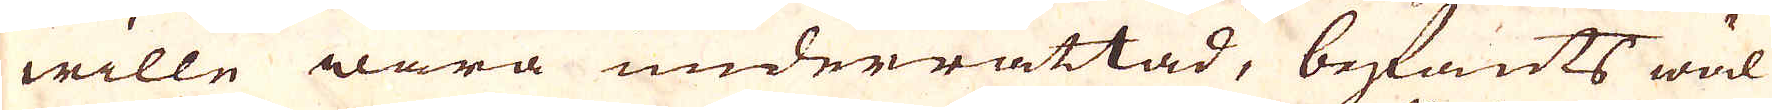wille wara underrättad, befants wäl
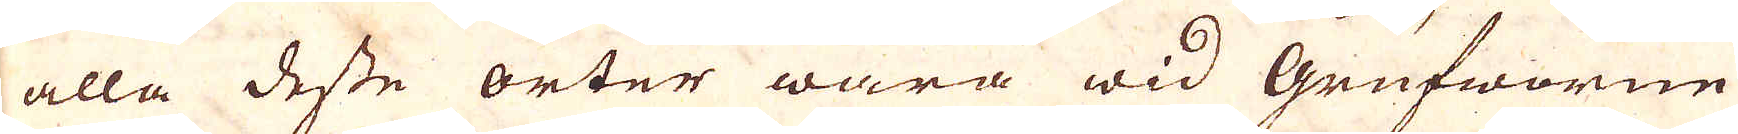alla desse orter wara wid Grufworne
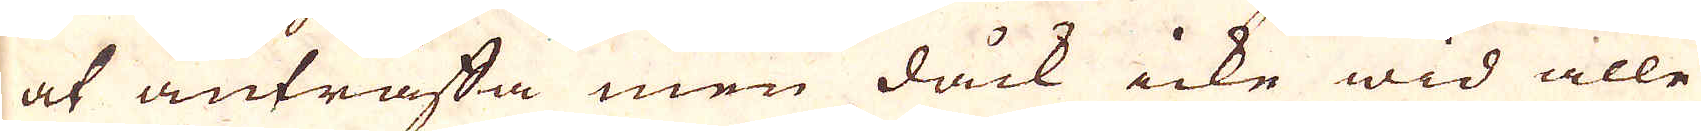at anträffa men dåck icke wid alle
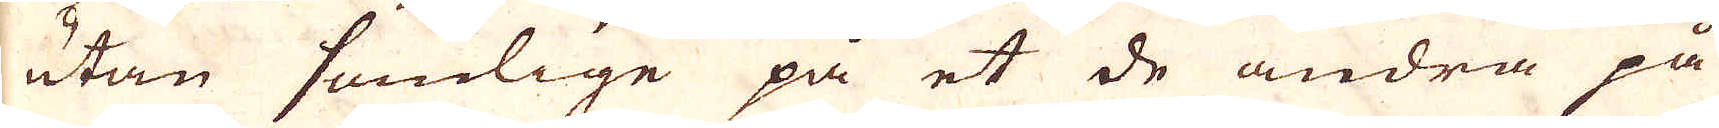utan somlige på et de andra på
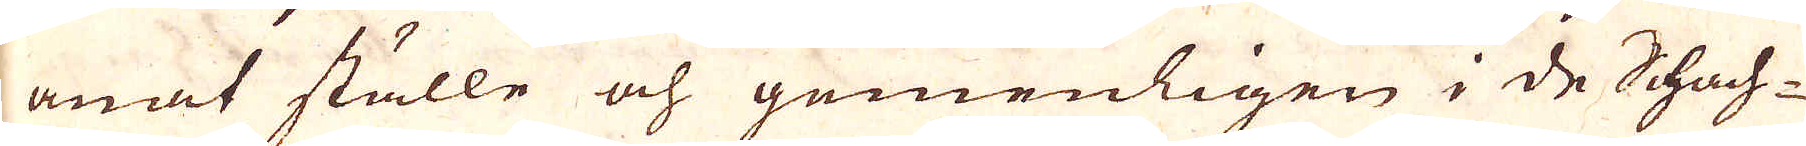anat ställe och gemenligen i de Schach-
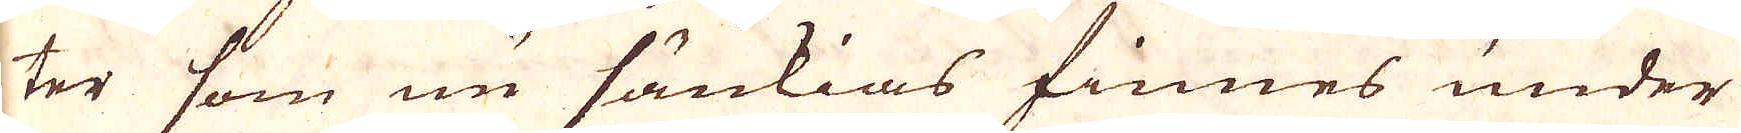ter som nu sänkias finnes under
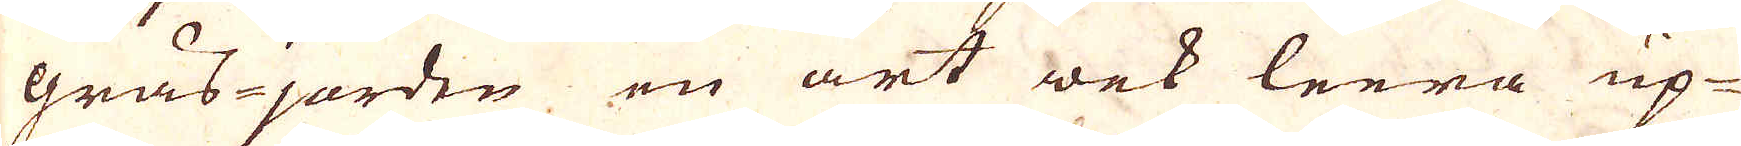grås-jorden en art wek leera up-
